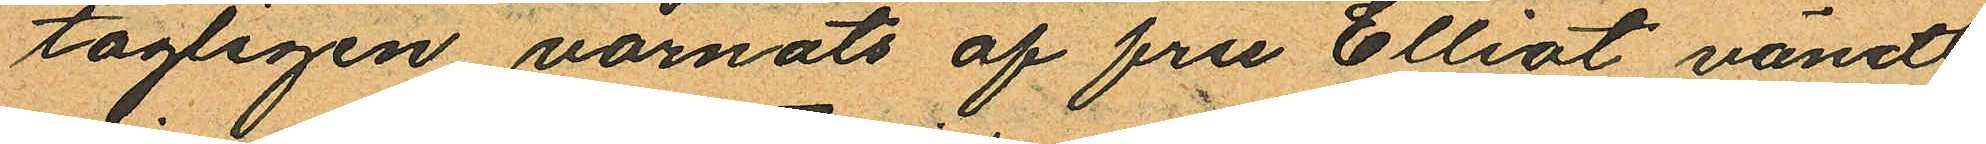tagligen varnats af fru Elliot vändt
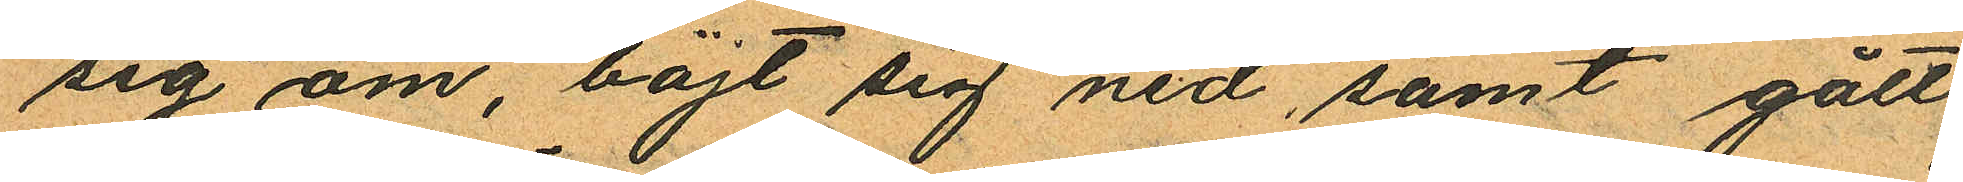sig om, böjt sig ned samt gått
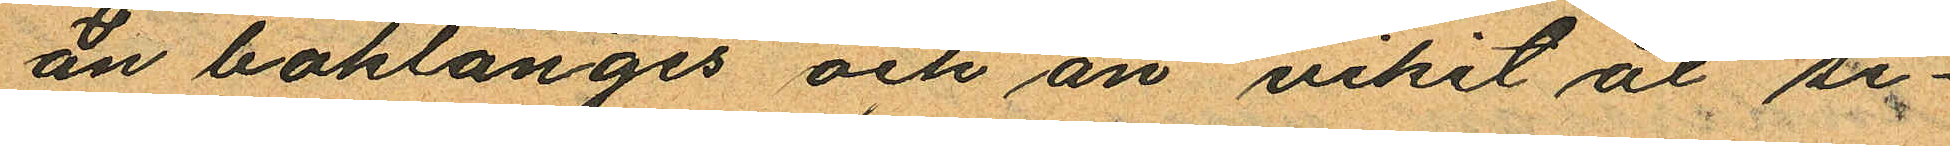än baklänges och än vikit åt si¬
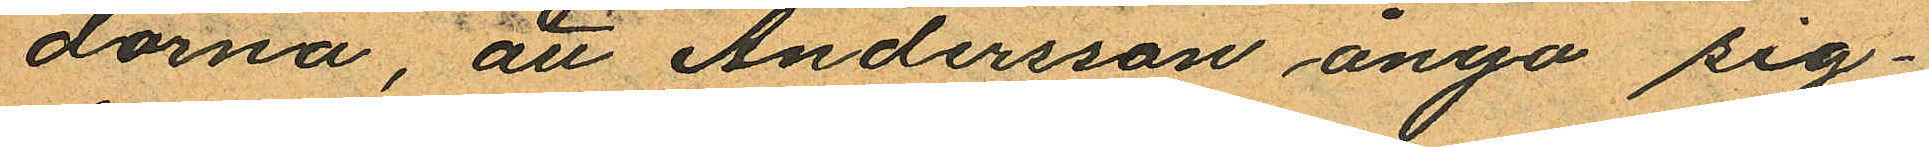dorna, att Andersson ånyo sig¬
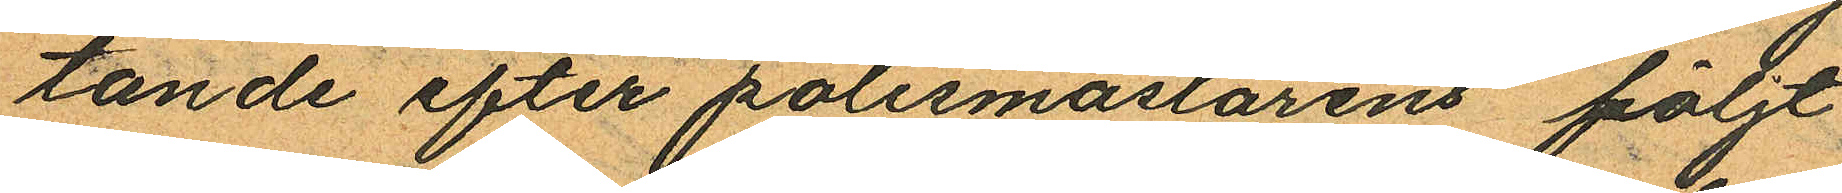tande efter polismästarens följt
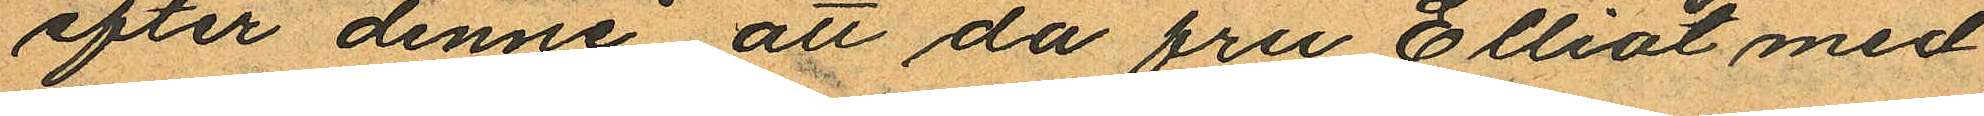efter denne att da fru Elliot med
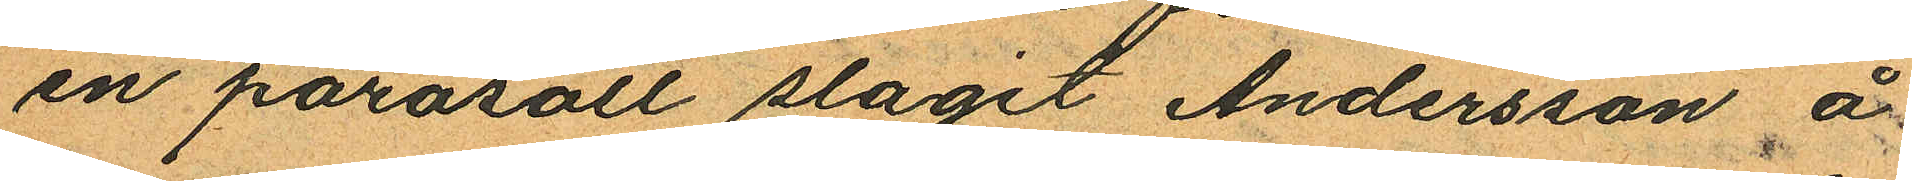en parasoll slagit Andersson å
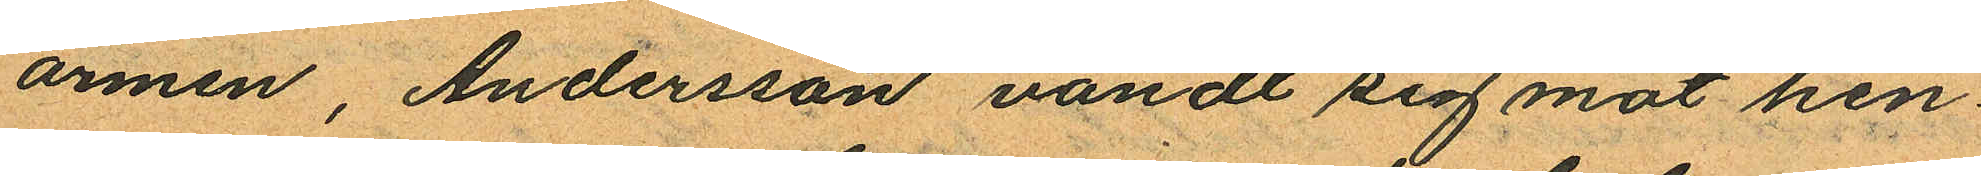armen, Andersson vändt sig mot hen¬
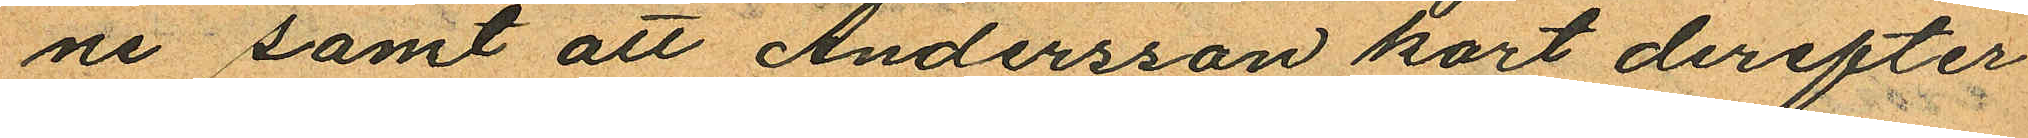ne samt att Andersson kort derefter
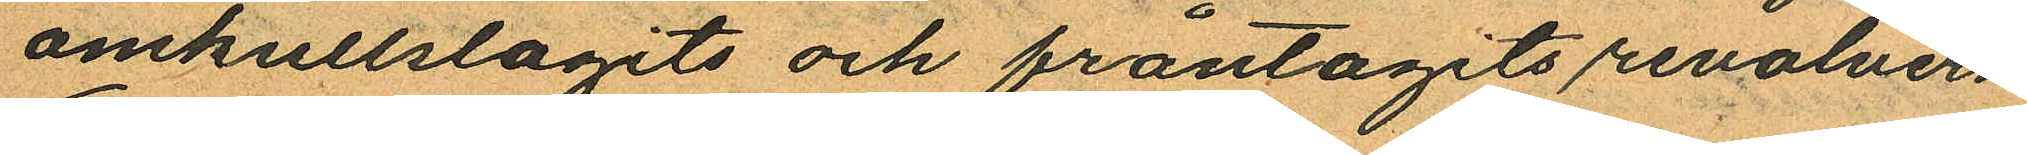omkullstagits och fråntagits revolvern
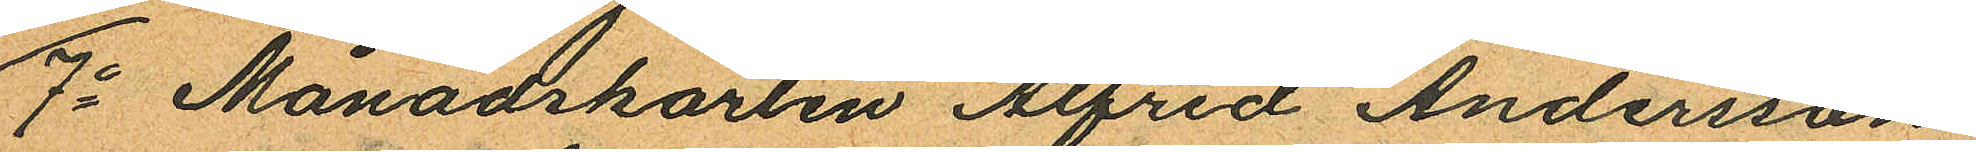7o Månadskarlen Alfred Andersson
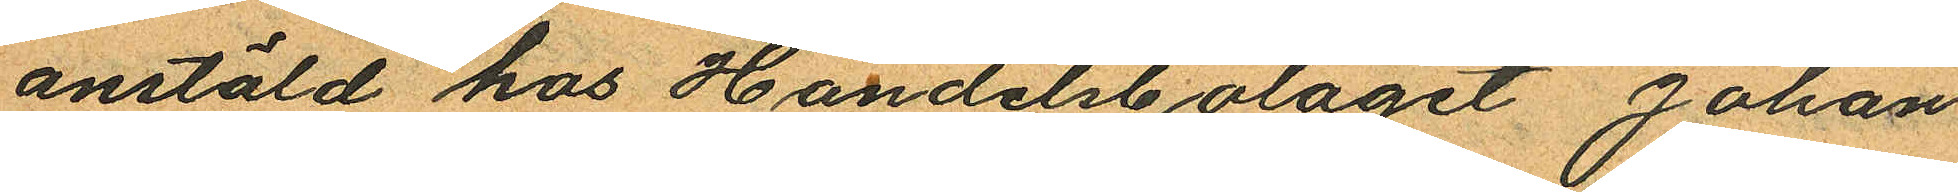anstäld hos Handelsbolaget Johan
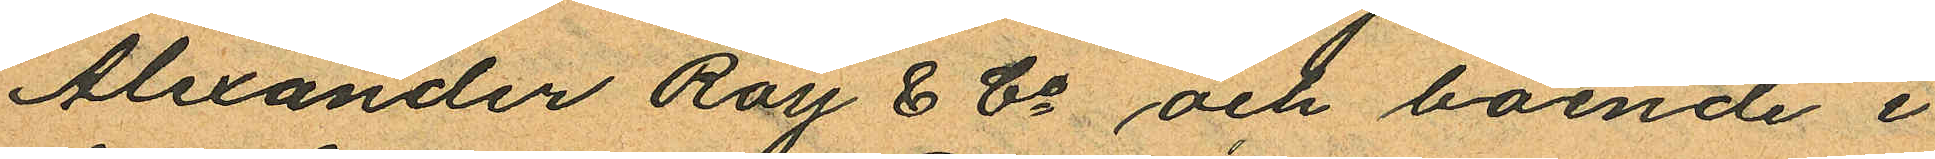Alexander Ray & Co och boende i
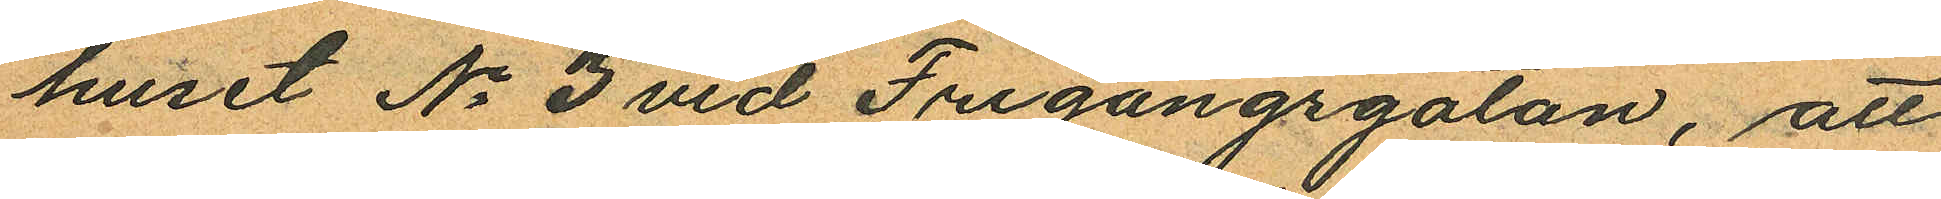huset No 3 vid Frigångsgatan, att
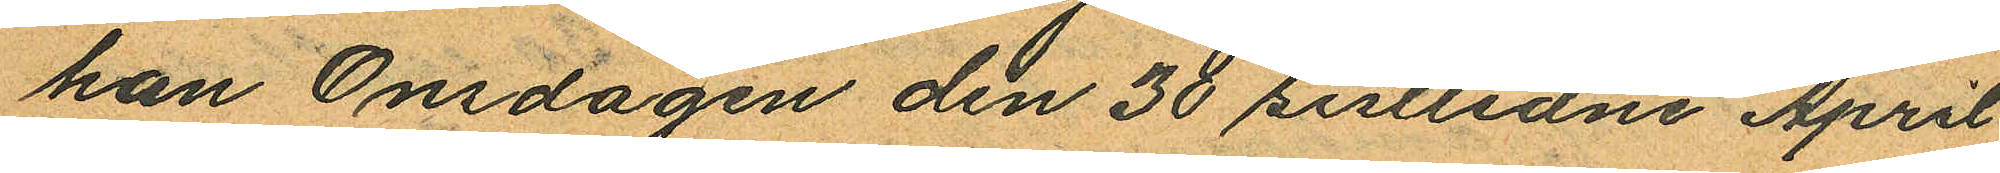han Onsdagen den 30 sistlidne April
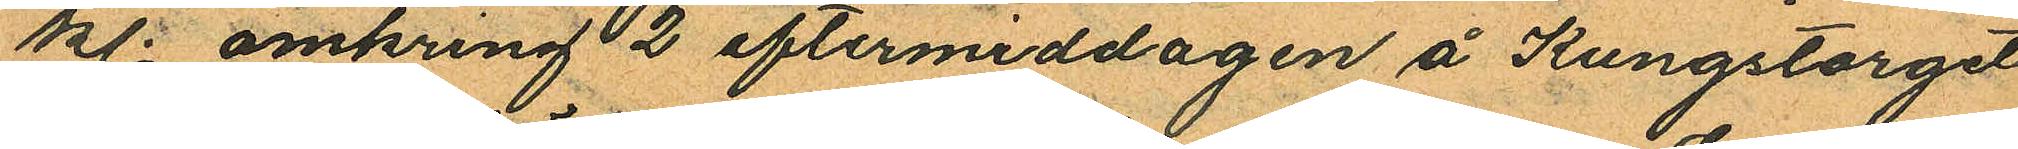kl. omkring 2 eftermiddagen å Kungstorget
